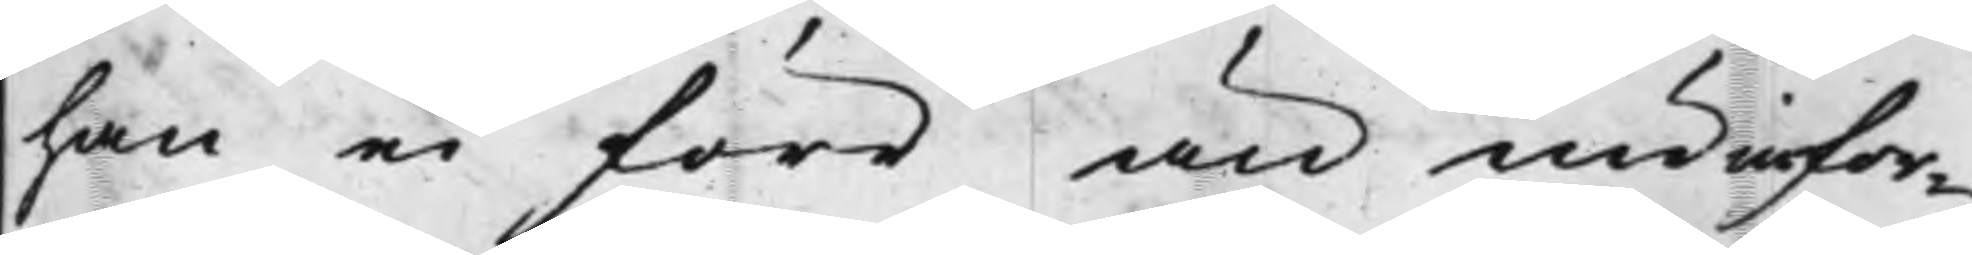han ei förr än nu infor¬
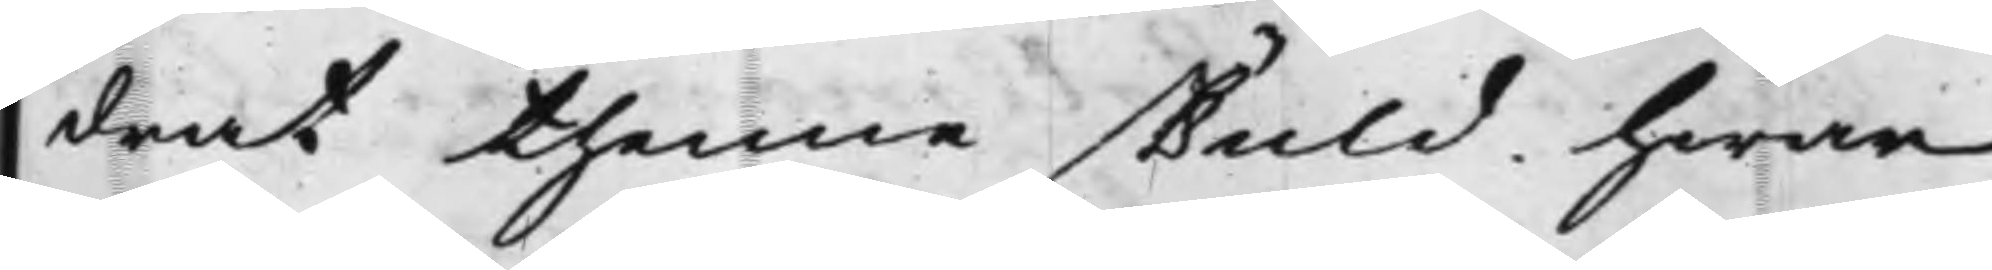drat thenne skuld, hwar
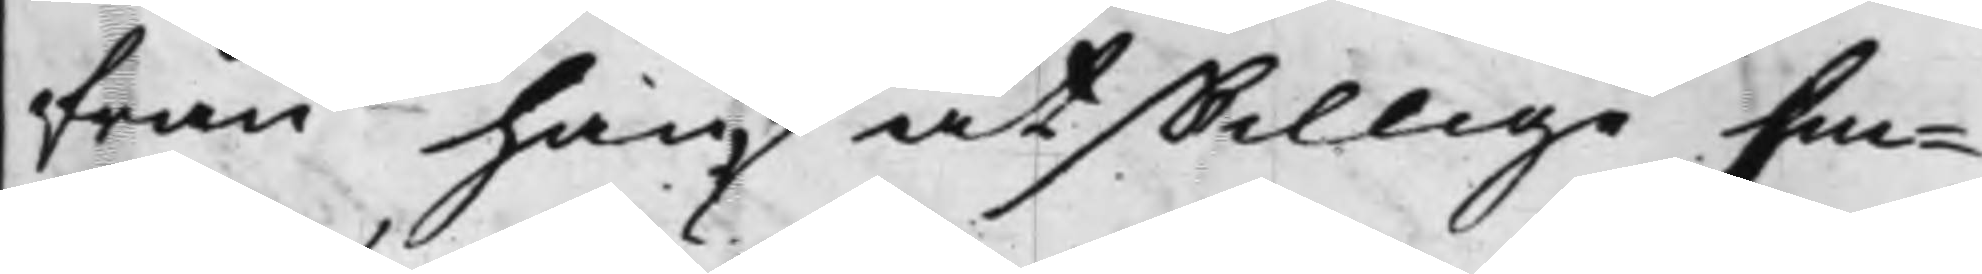från han åtskillige Em¬
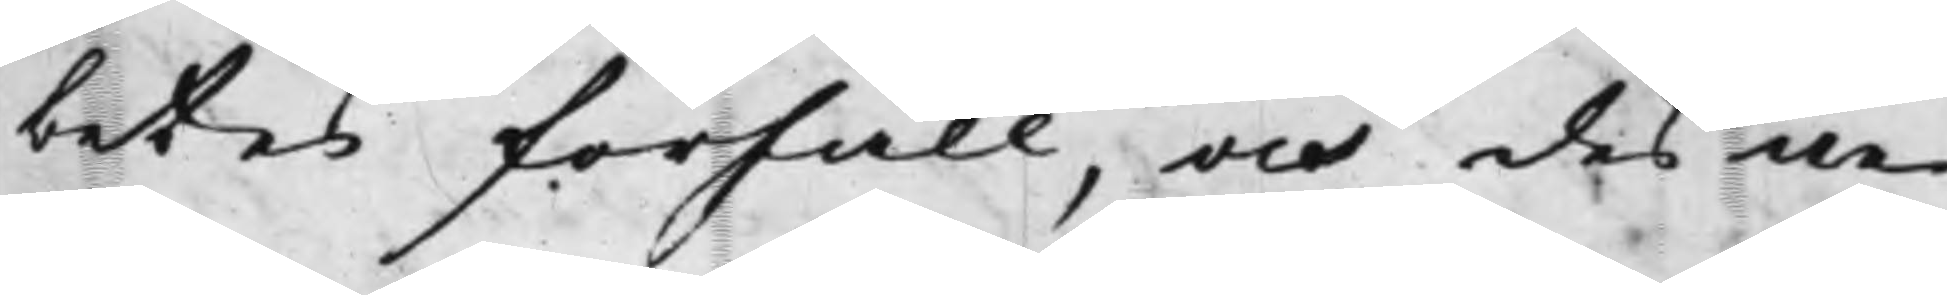betes förfall, och des ne¬
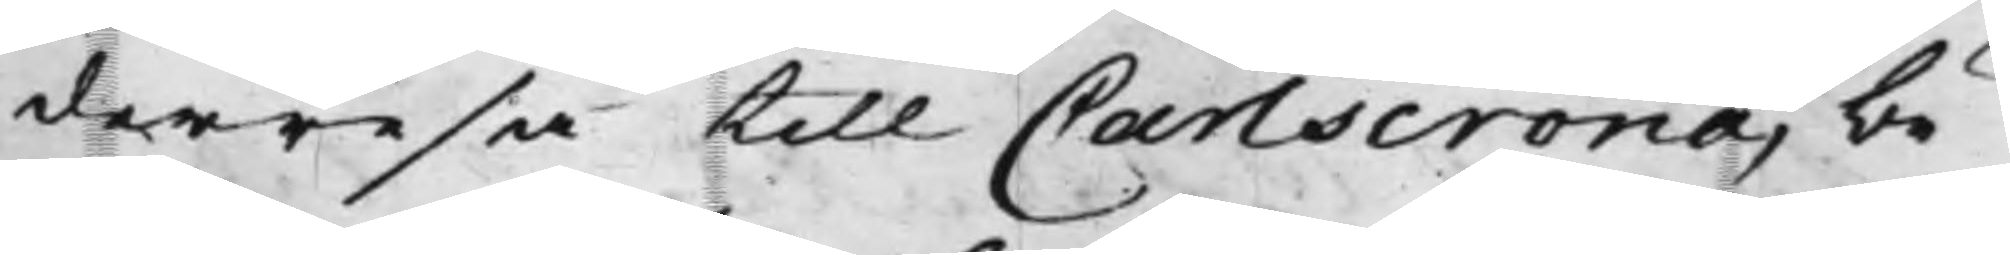derresa till Carlscrona, be¬
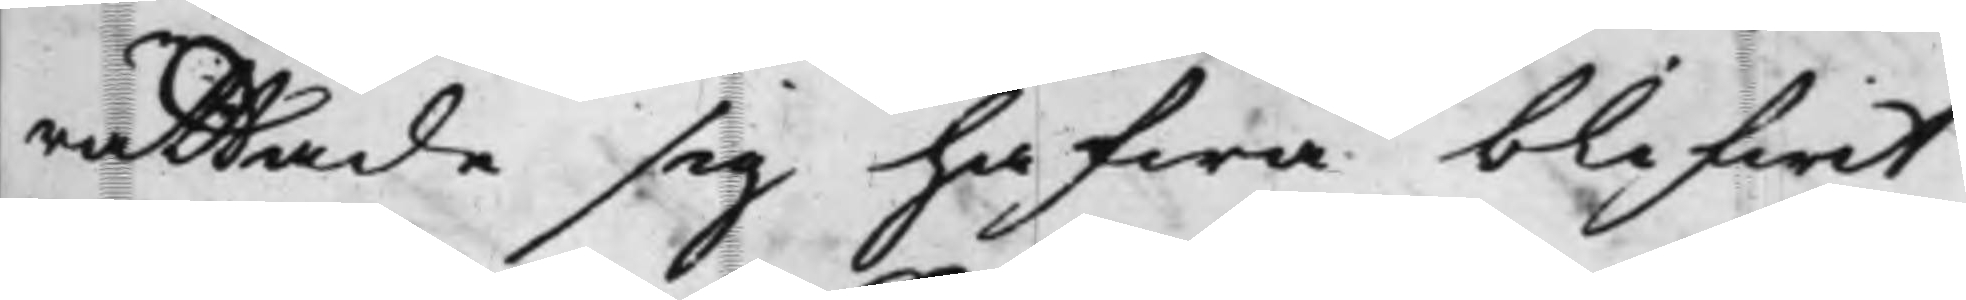rättade sig hafwa blifwit
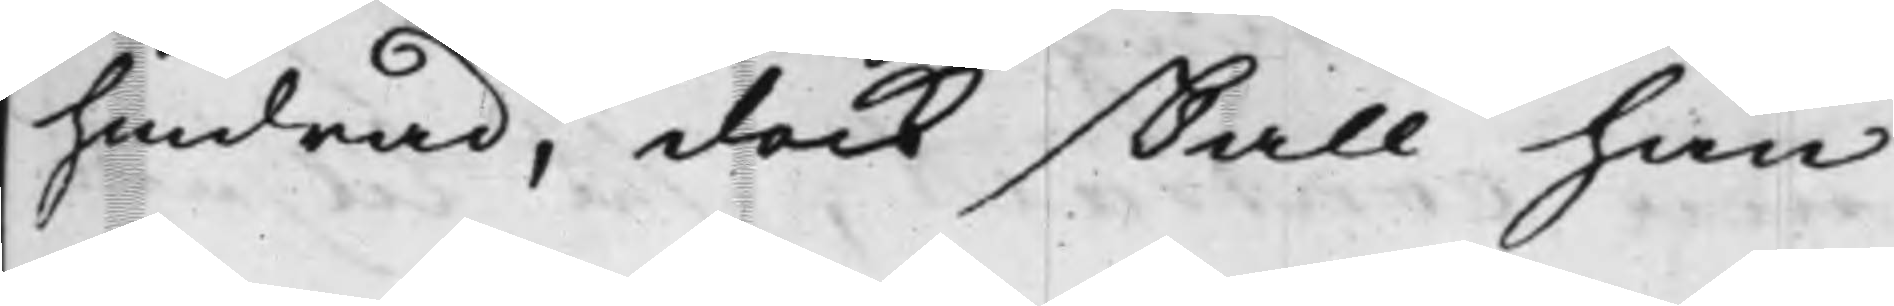hindrad, dock skall han
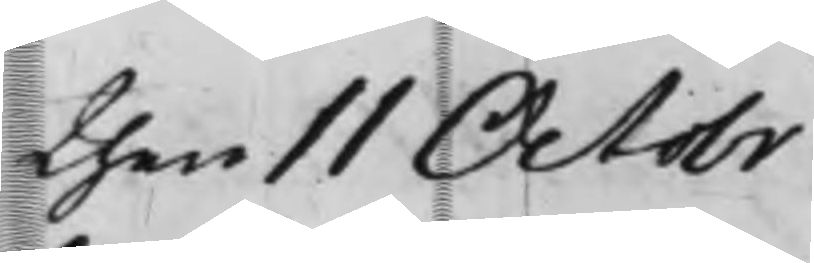then 11 Octobr
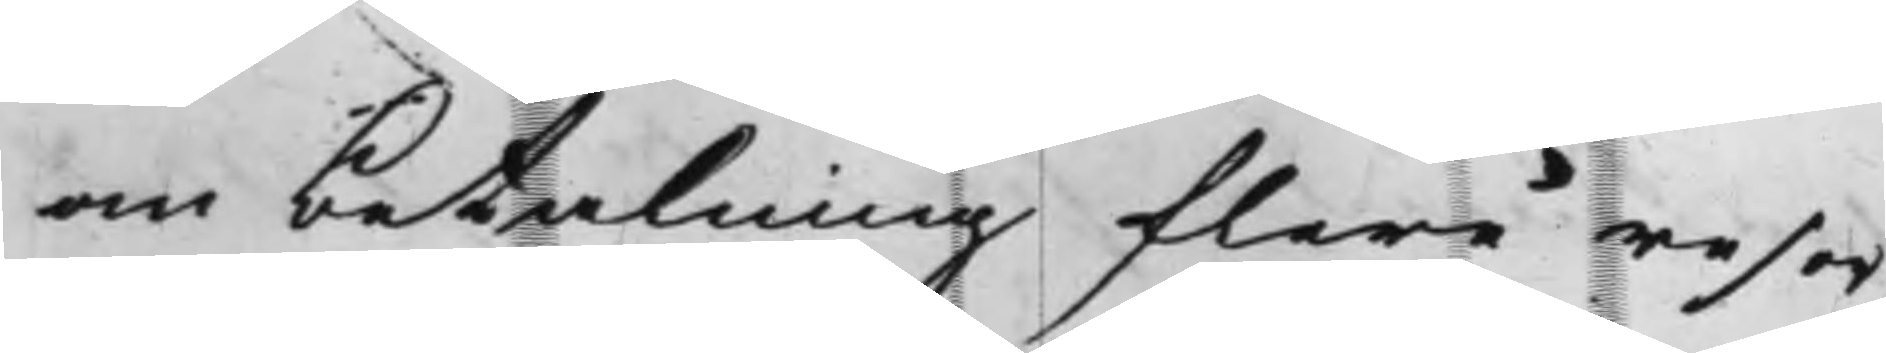om betalning flere resor
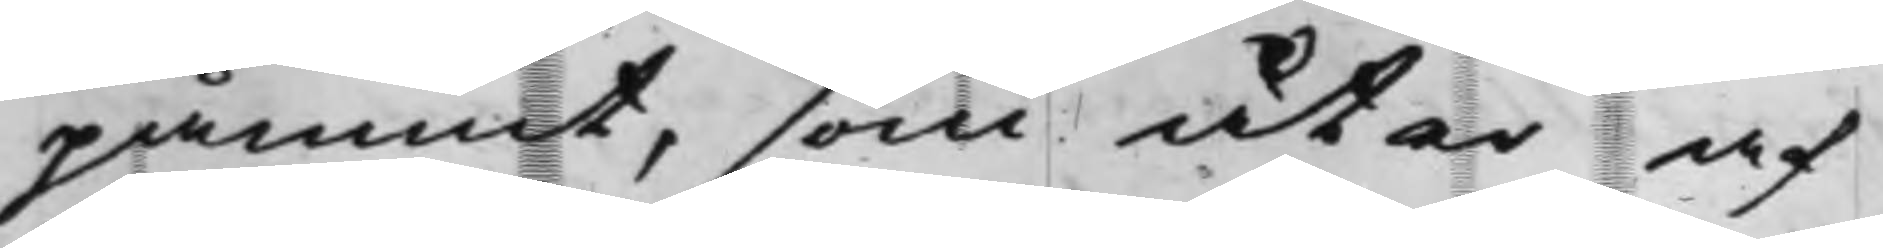påmint, som åter af
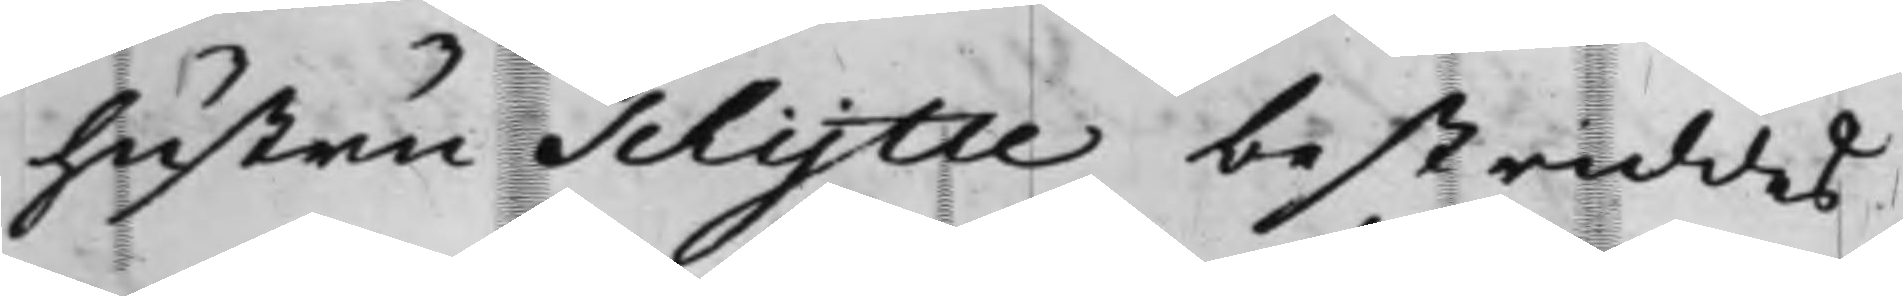hustru Schytte bestriddes
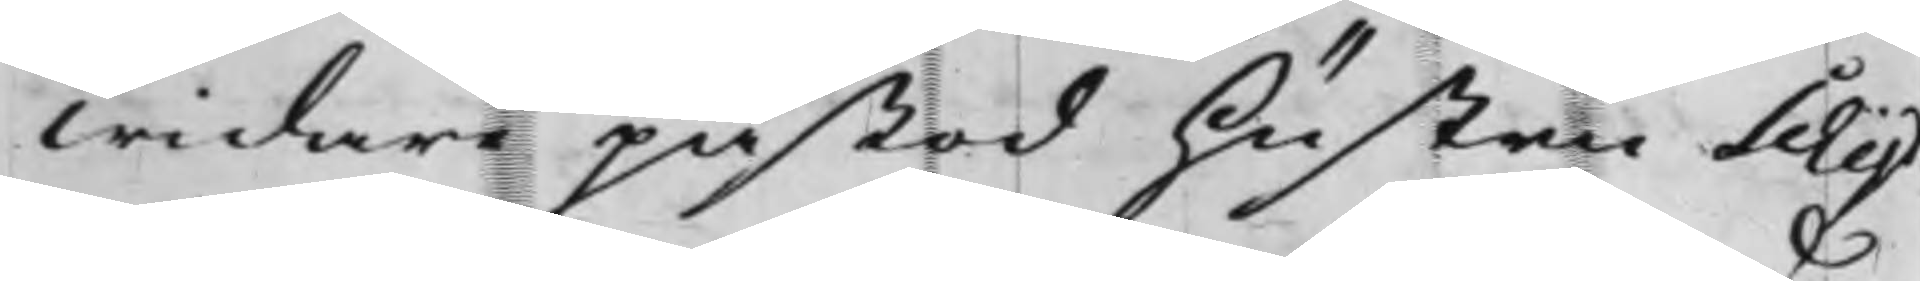widare påstod hustru Schyt¬
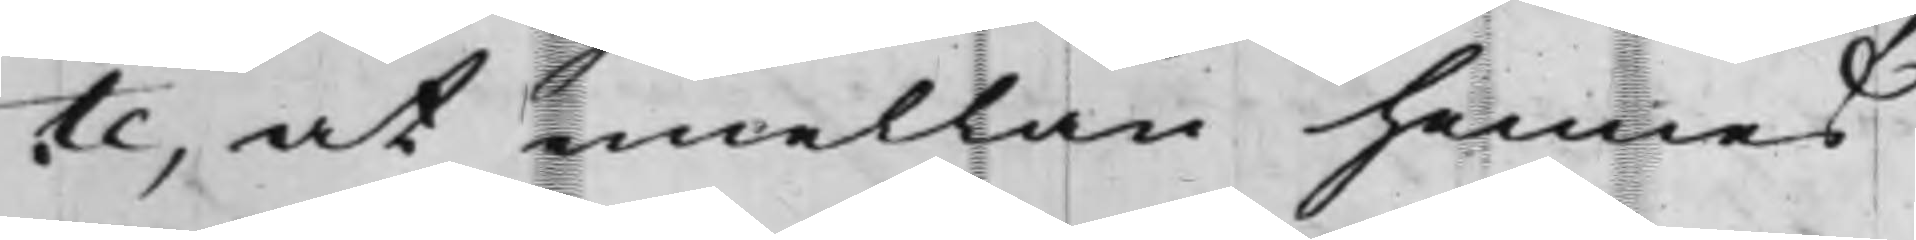te, at emellan hennes
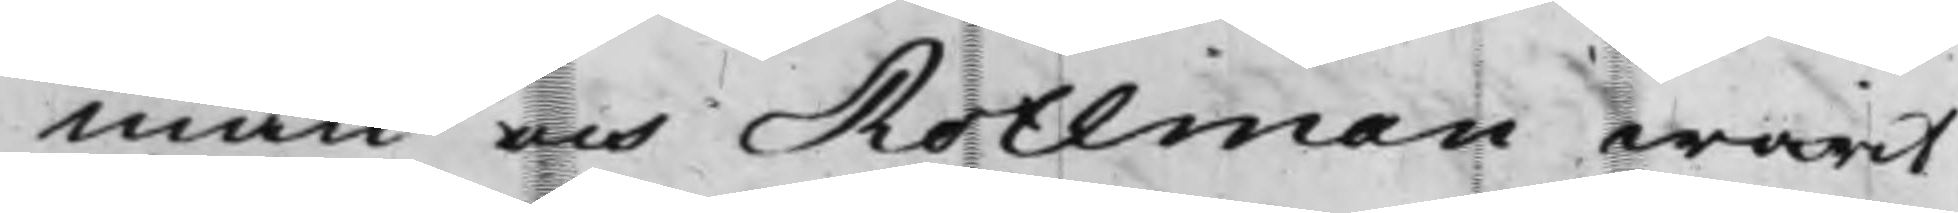man och Rothman warit
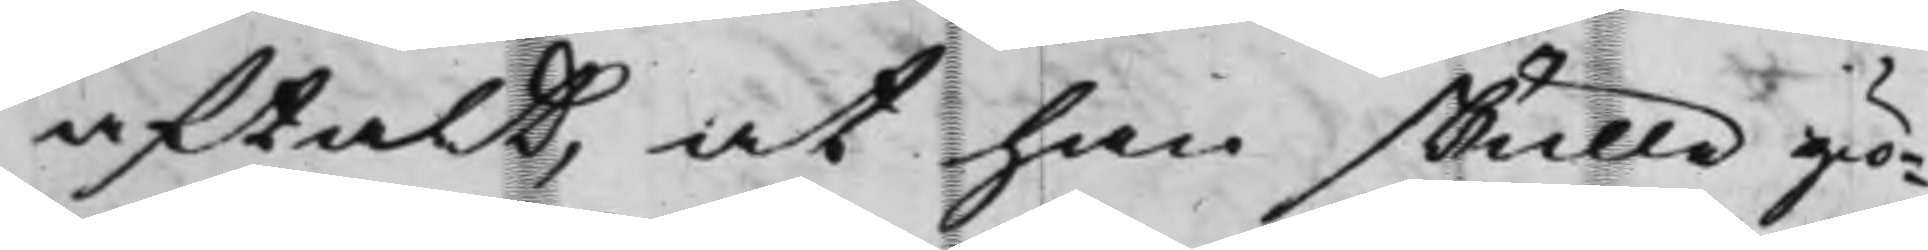aftalt, at han skulle giö¬
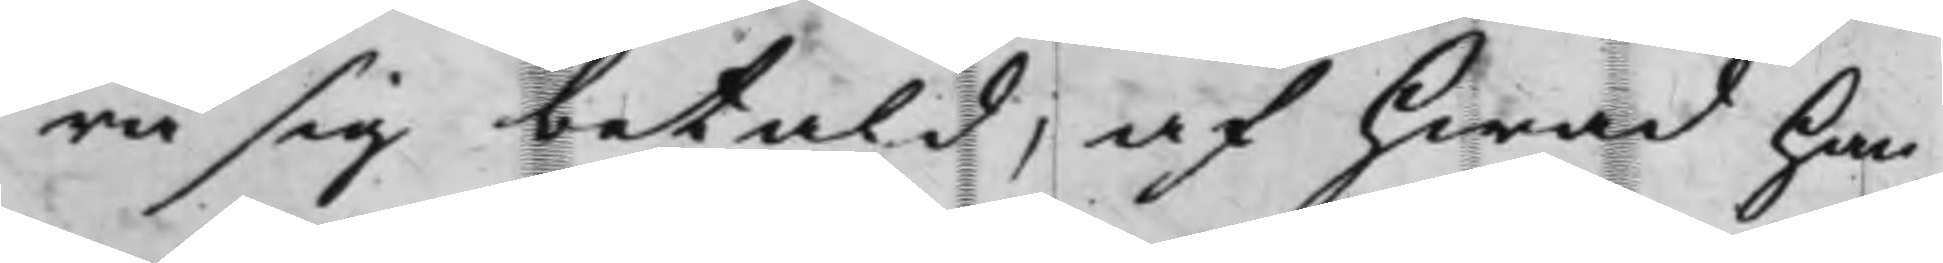ra sig betald, af hwad han
